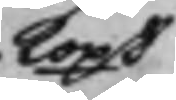kopt
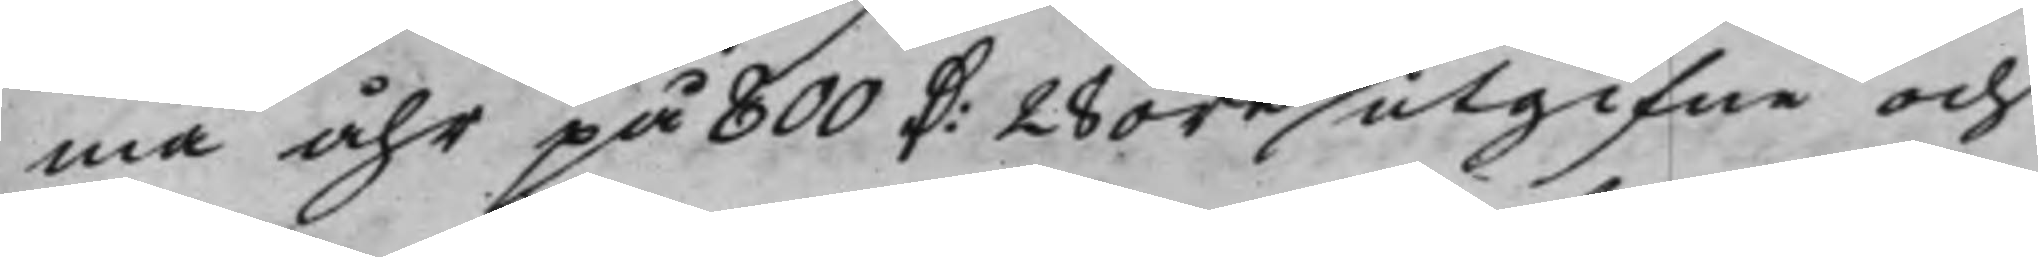ma åhr på 800 D: 28 öre utgifne och
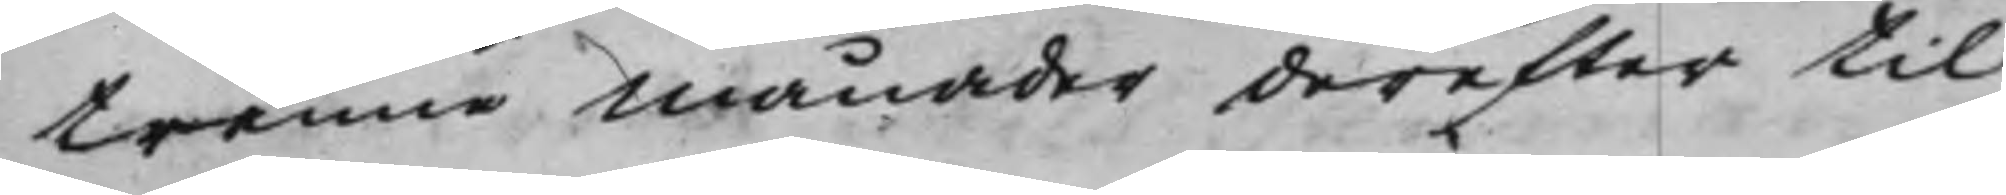trenne Månader derefter til
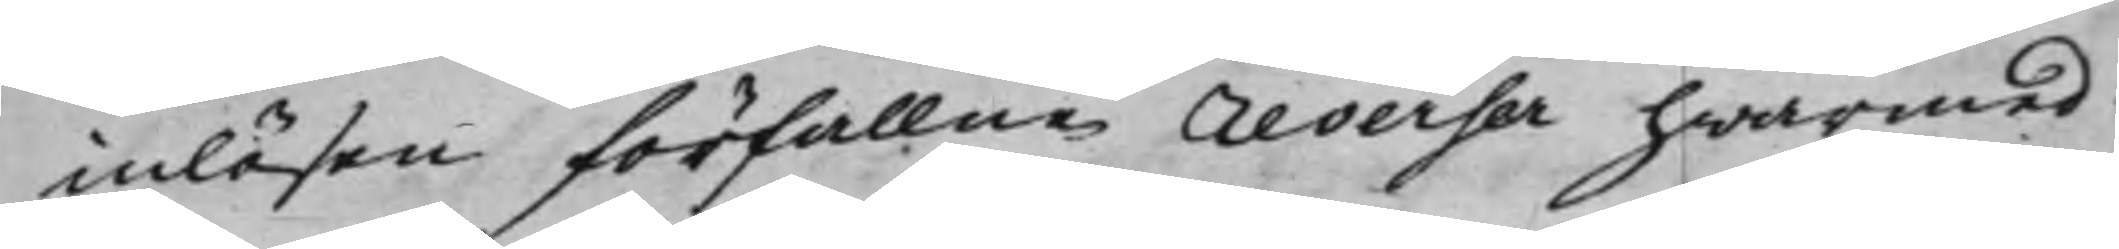inlösen förfallne reverser hwarmed
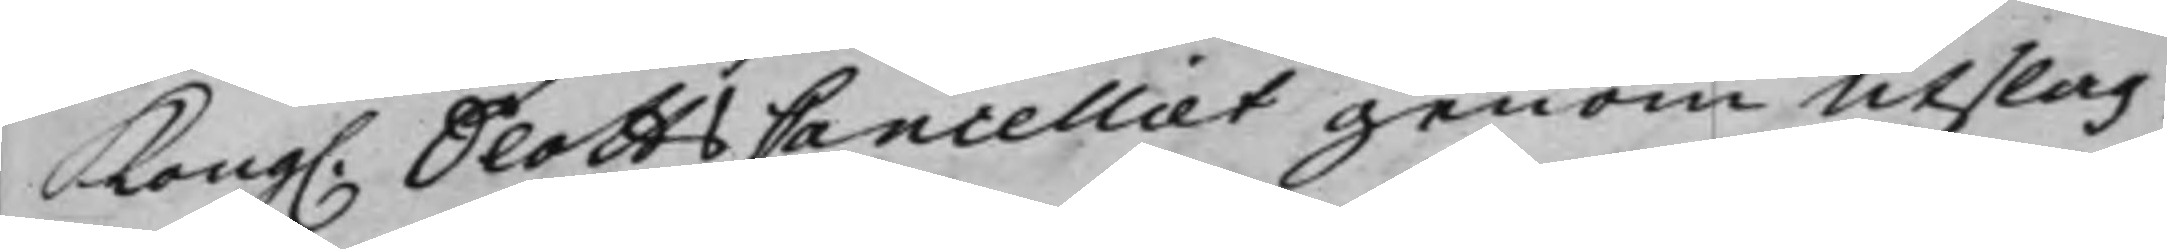Kong. SlottsCancelliet genom Utslag
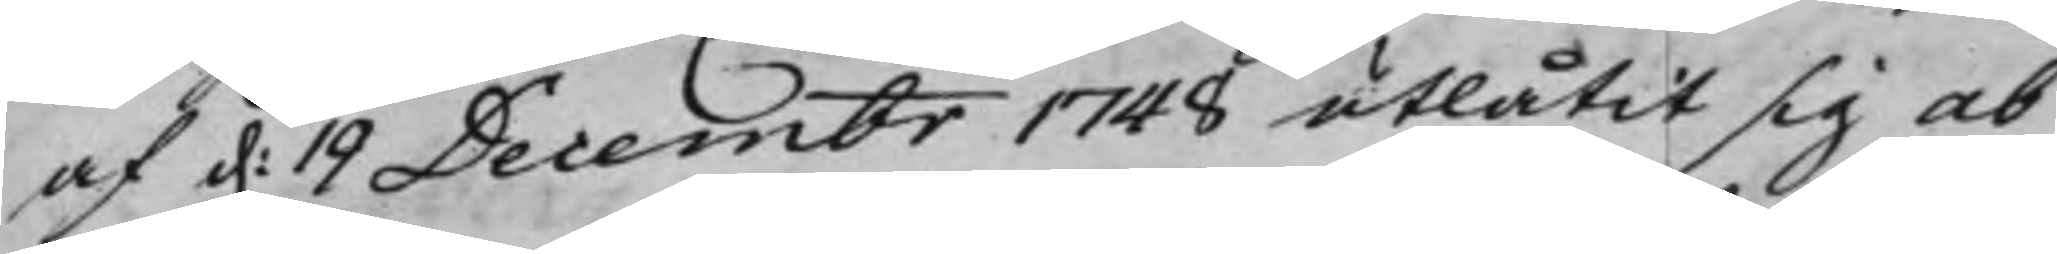af d. 19 Decembr 1748 utlåtit sig ab
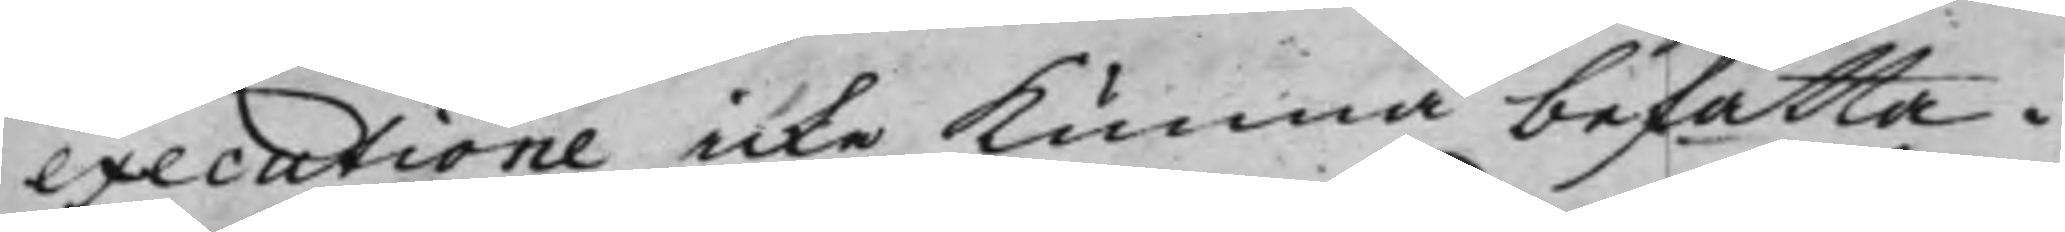executione icke kunna befatta.
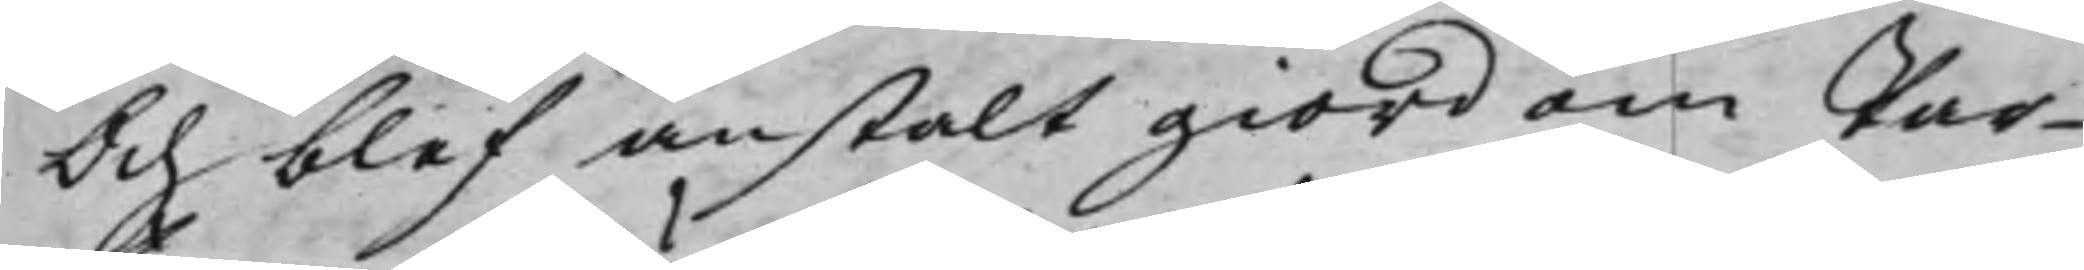Och blef anstalt giord om Par¬
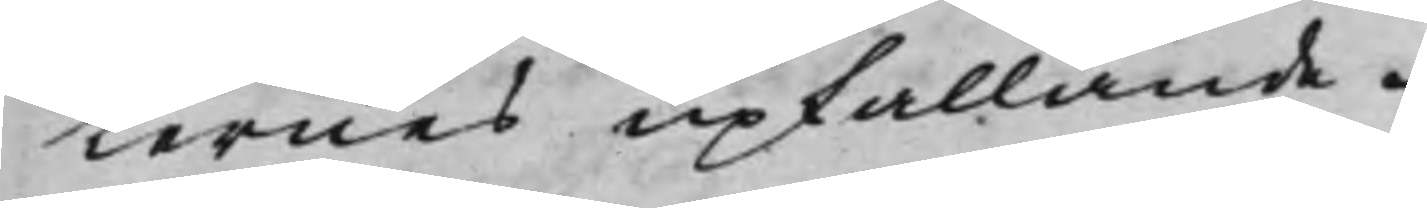ternes upkallande.
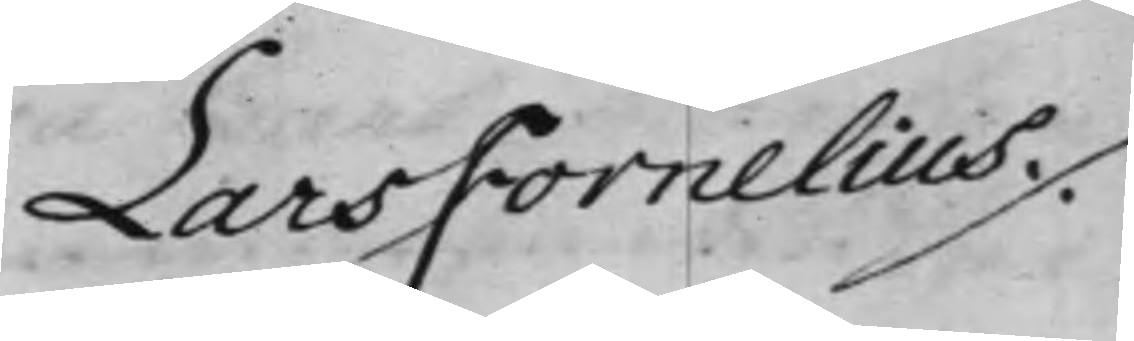Lars Fornelius ./.
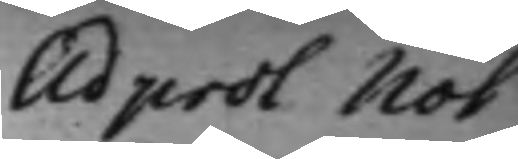Ad prot Not
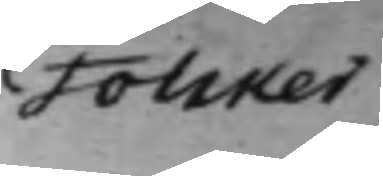Folcker
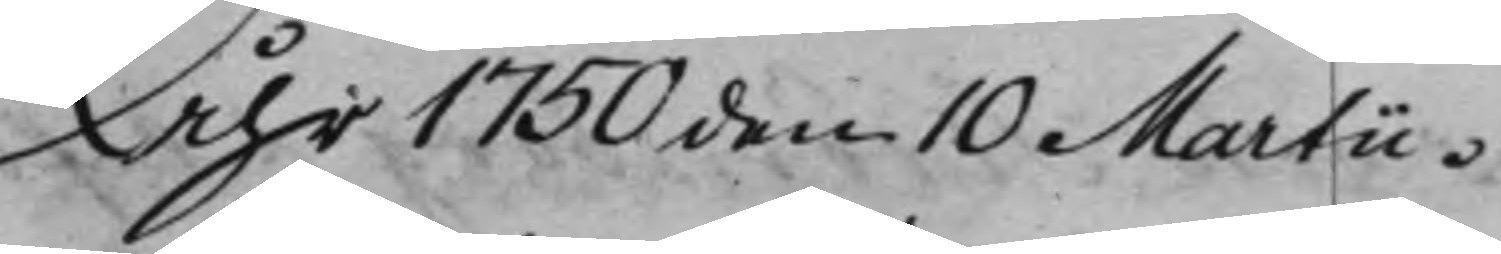Åhr 1750 den 10 Martii.
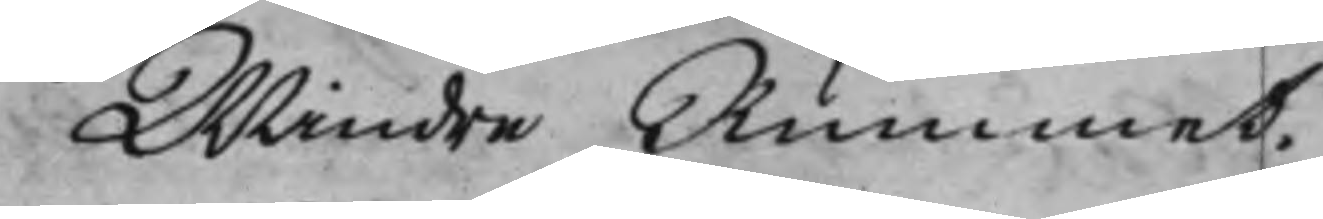Mindre Rummet.
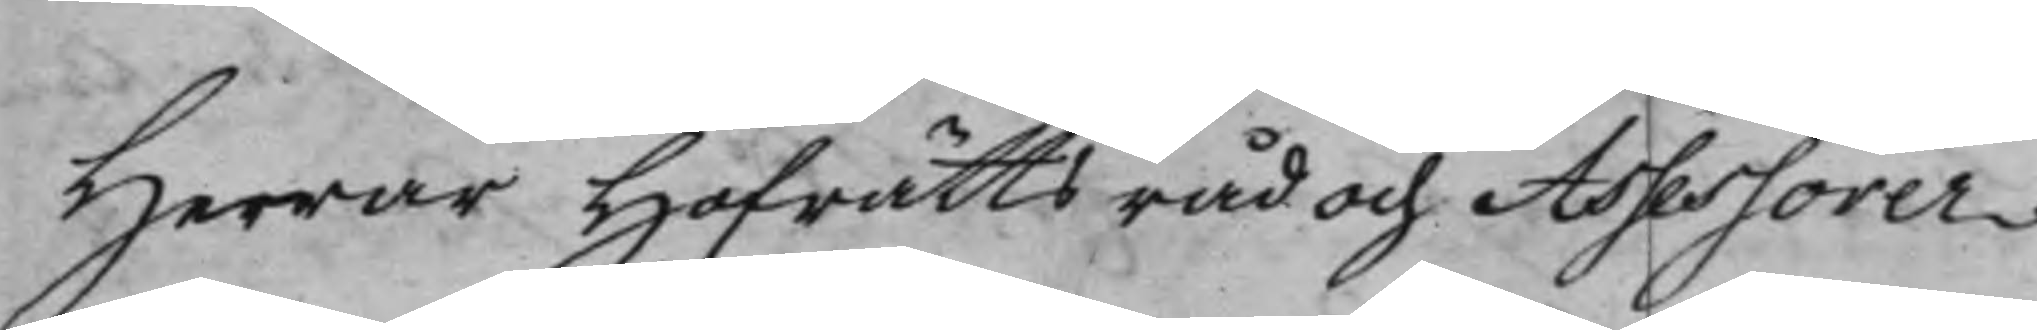Herrar Hofrättsråd och Assessorer
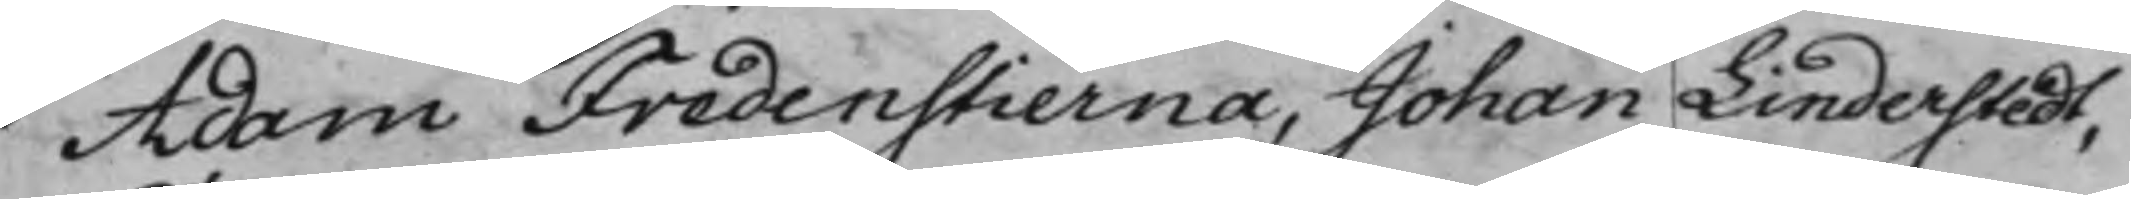Adam Fredenstierna, Johan Linderstedt,
